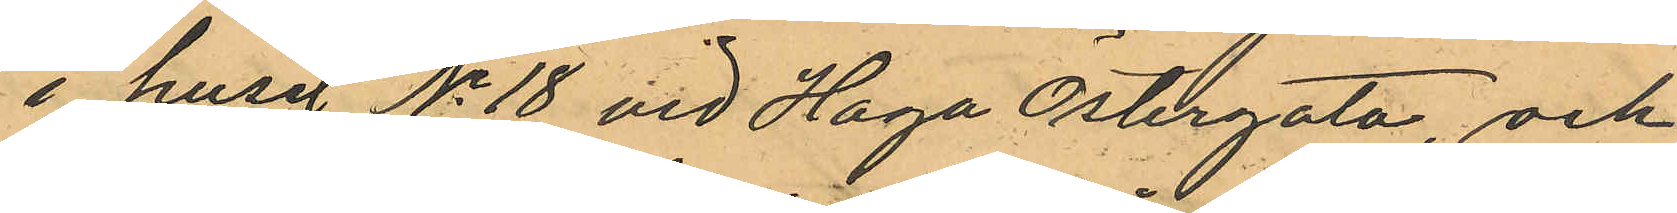i huset No 18 vid Haga Östergata, och
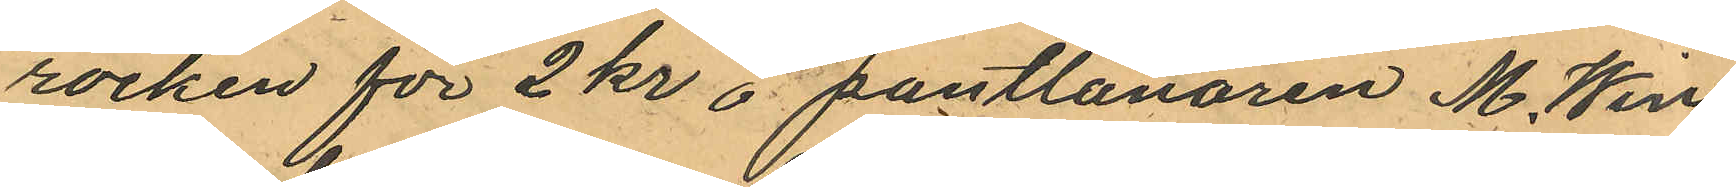rocken för 2 kr å pantlånaren M. Win¬
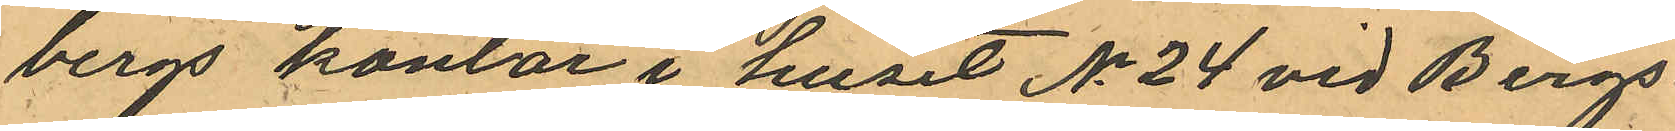bergs kontor i huset No 24 vid Bergs¬
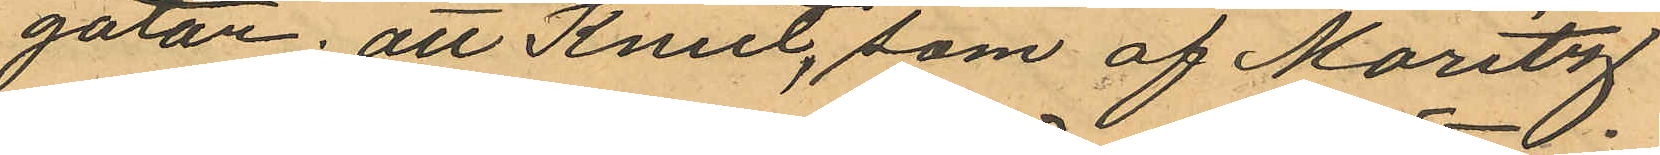gatan; att Knut, som af Moritz,
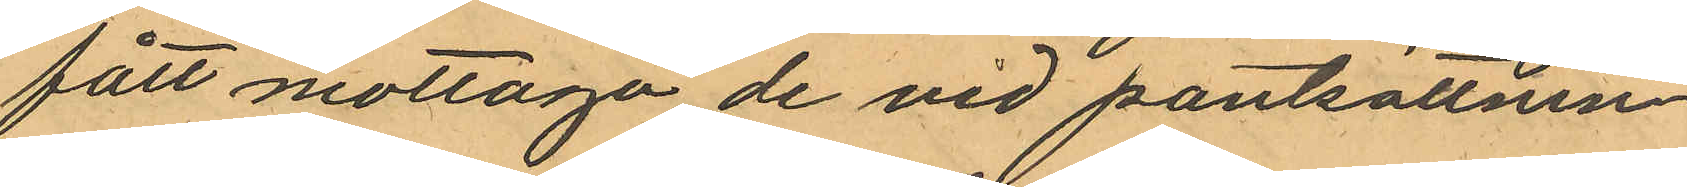fått mottaga de vid pantsättnin¬
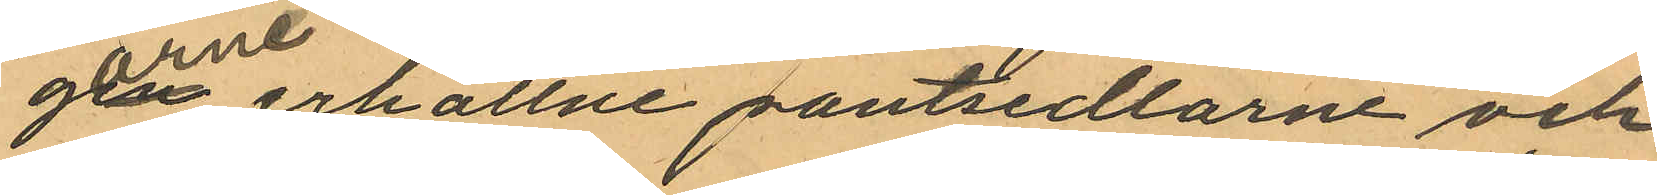garne erhållne pantsedlarne och
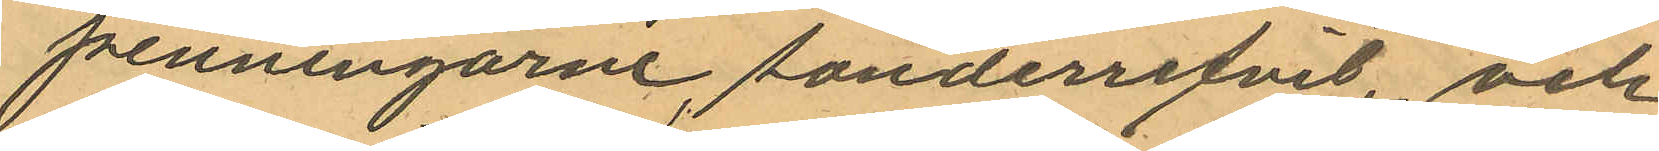penningarne, sönderrifvit och
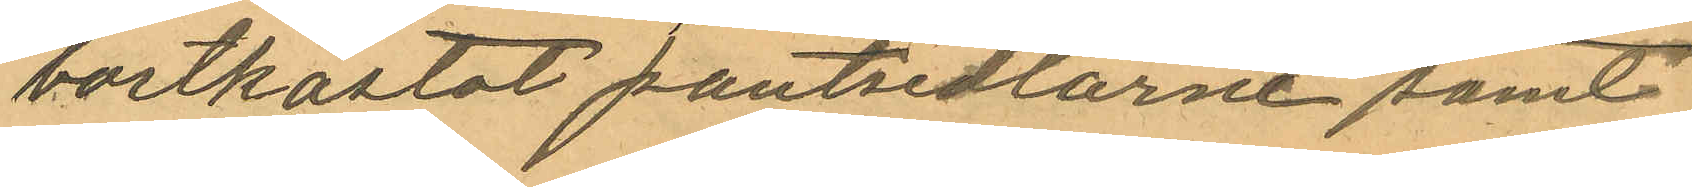bortkastat pantsedlarne samt
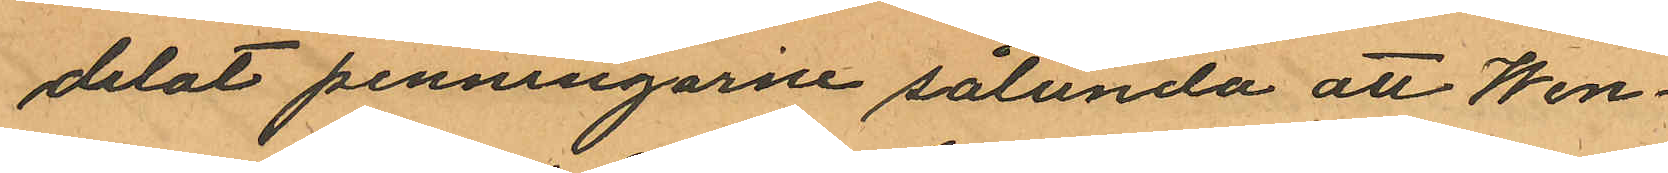delat penningarne sålunda att Wen¬
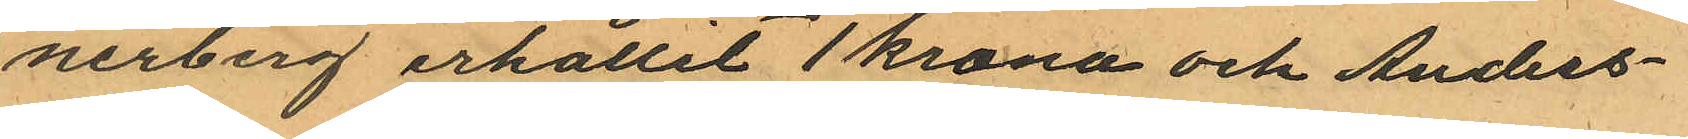nerberg erhållit 1 krona och Anders¬
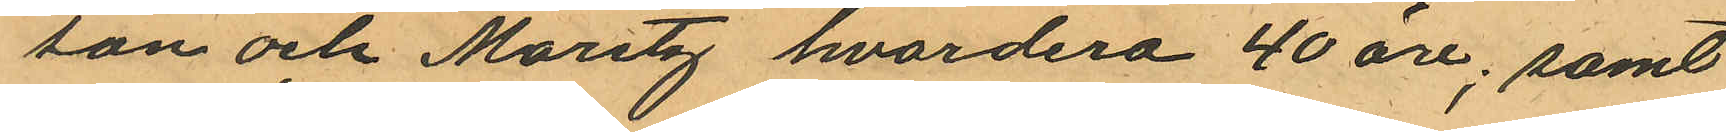son och Moritz hvardera 40 öre; samt
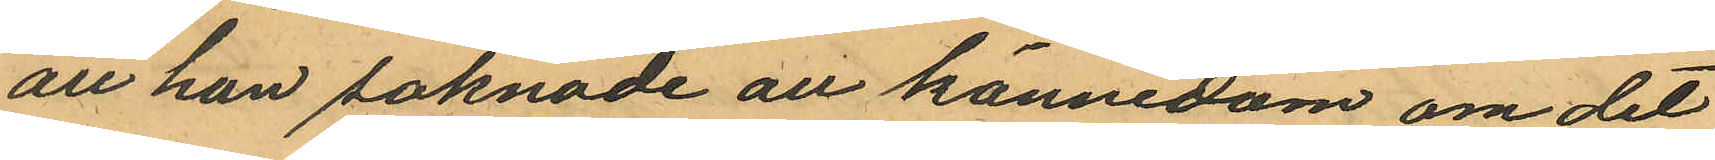att han saknade all kännedom om det
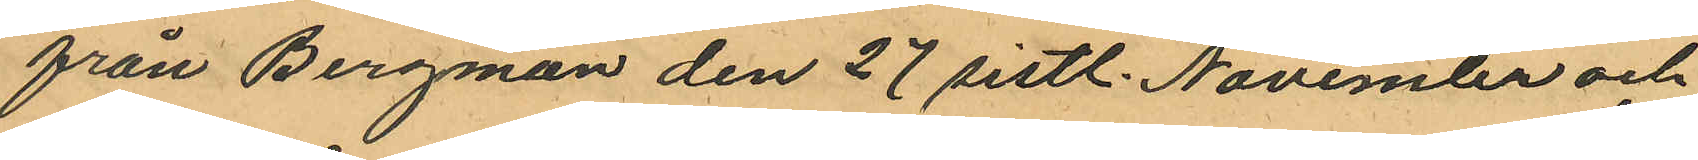från Bergman den 27 sistl. November och
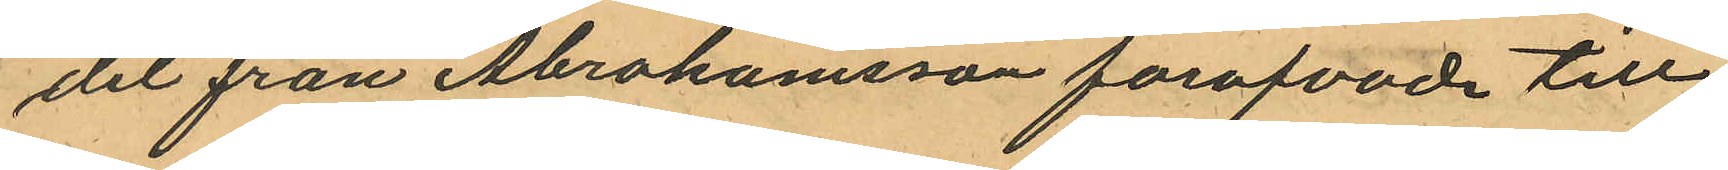det från Abrahamsson forofvade till¬
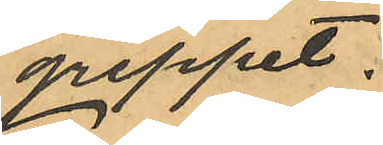greppet.
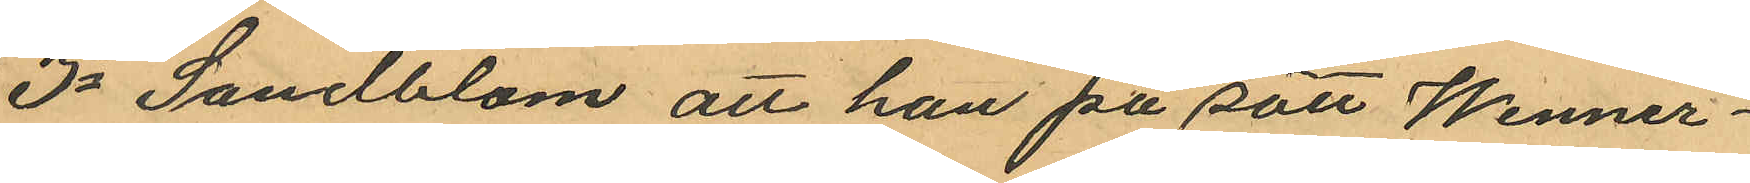3o Sandblom att han på sätt Wenner¬
